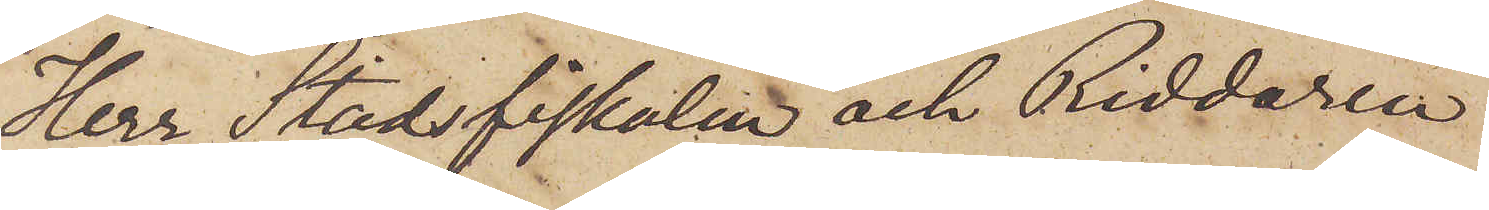Herr Stadsfiskalen och Riddaren
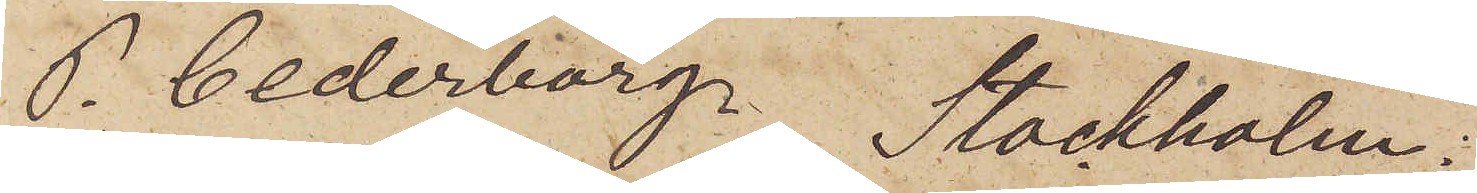P. Cederborg Stockholm:
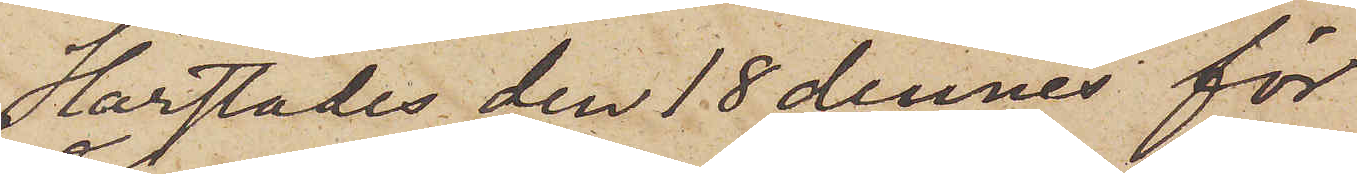Härstädes den 18 dennes för
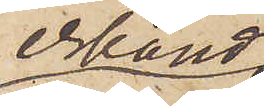erkänd
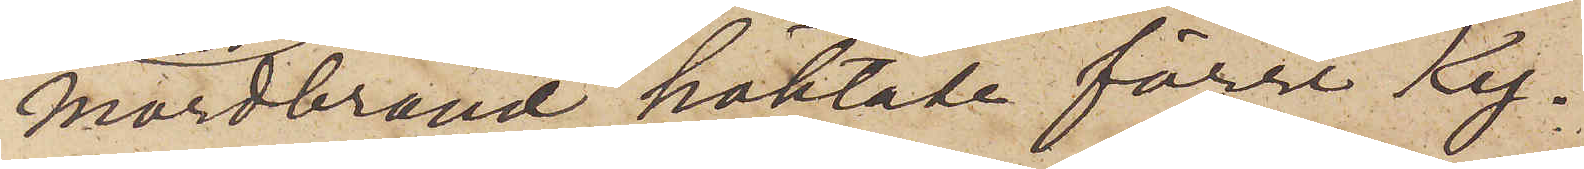mordbrand häktade förre Ky¬
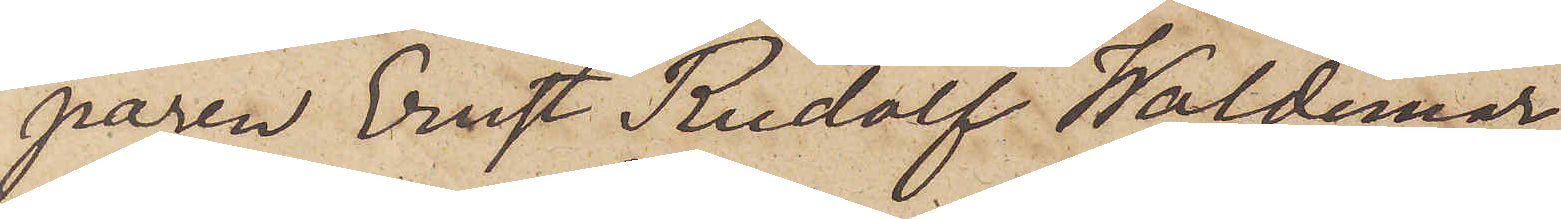paren Ernst Rudolf Waldemar
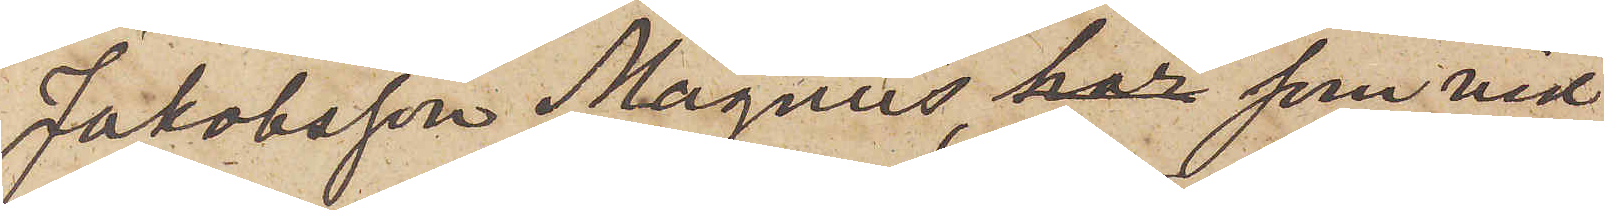Jakobsson Magnus, som vid
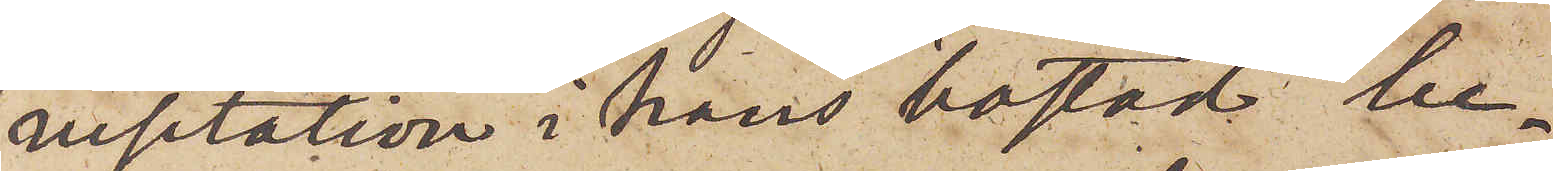visitation i hans bostad be¬
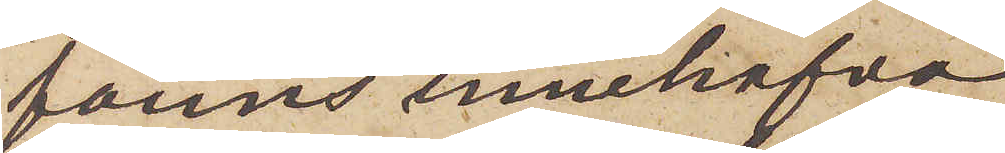fanns innehafva
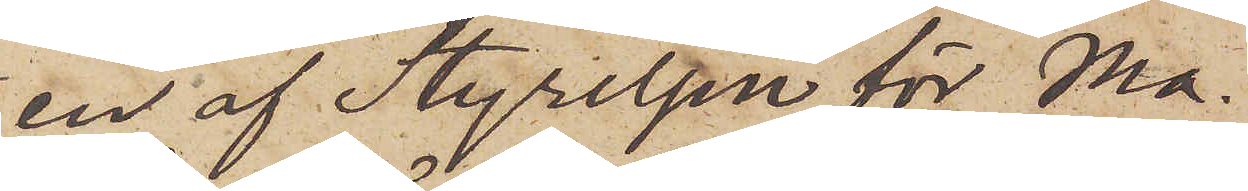en af Styrelsen för Ma¬
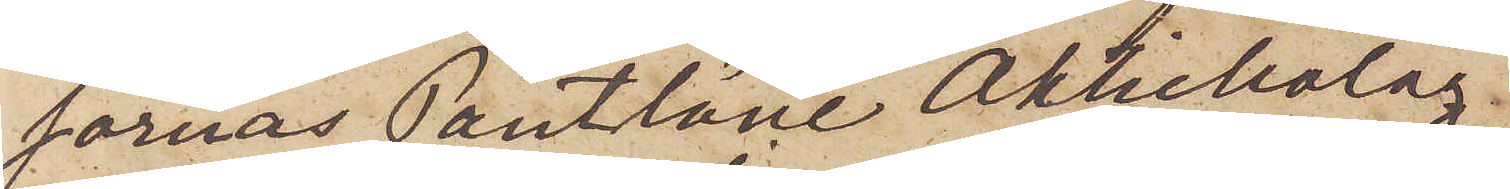jornas Pantlåne Aktiebolag
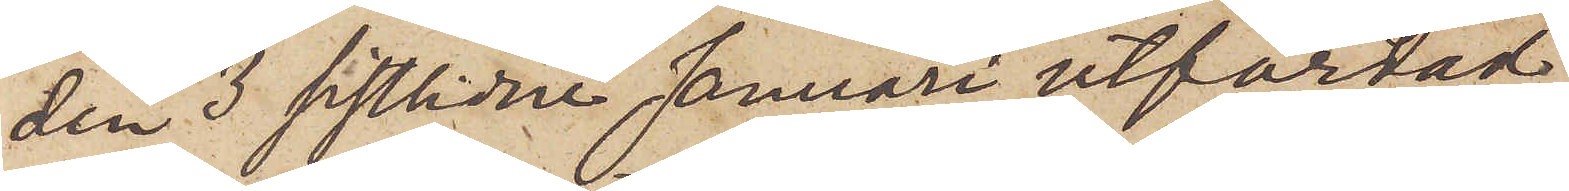den 3 sistlidne Januari utfärdad
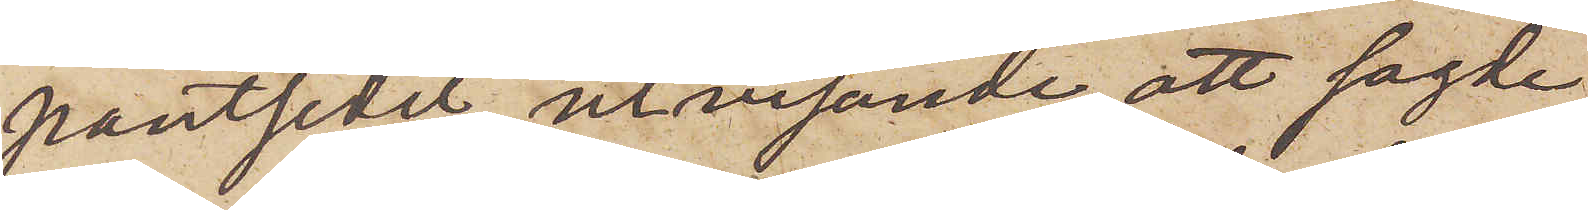pantsedel, utvisande att sagde
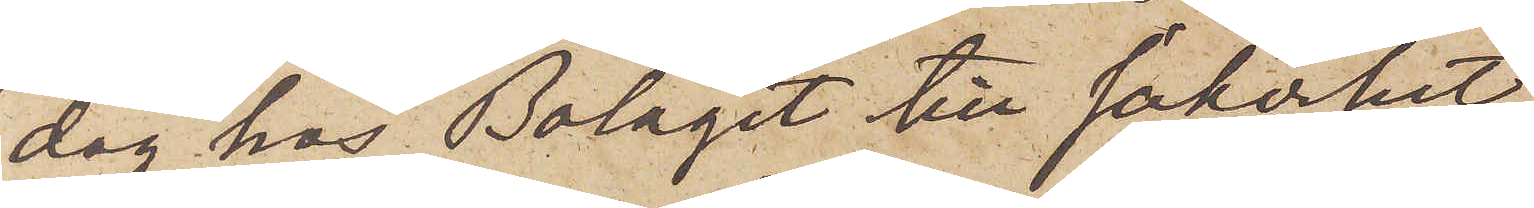dag hos Bolaget till säkerhet
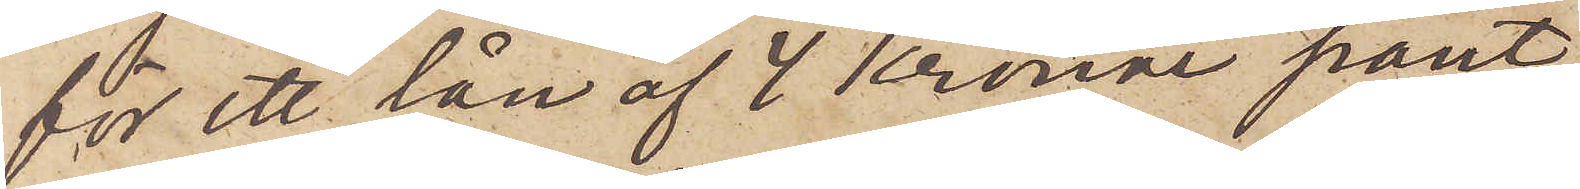för ett lån af 4 Kronor pant¬
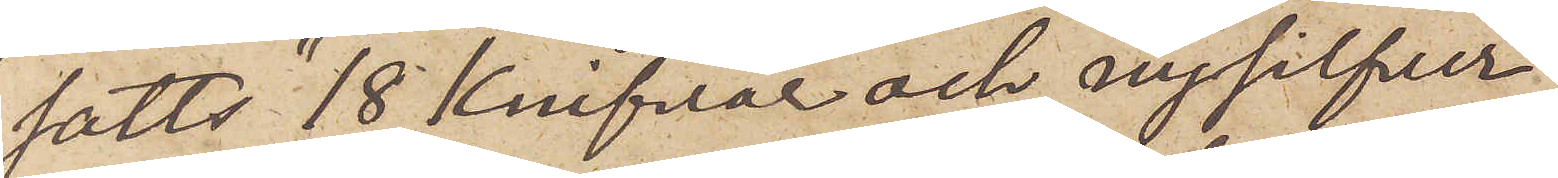satts "18 knifvar och nysilfver",
